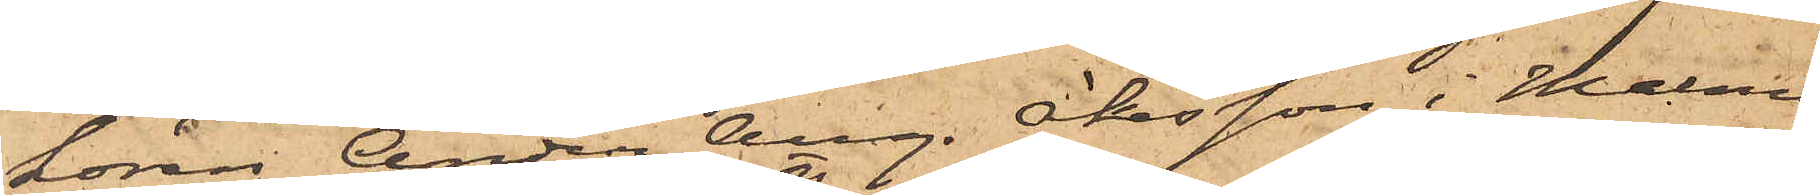kören Anders Aug. Åkesson i Malmö
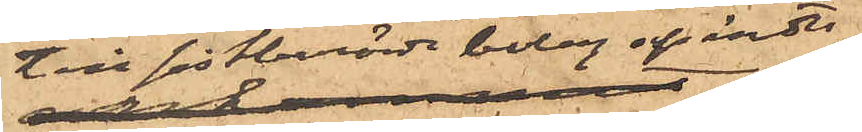till sistberörde bolag afsänts
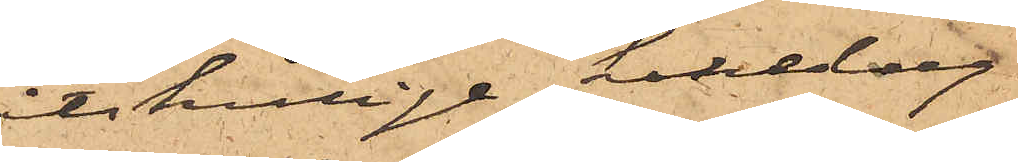åtskillige kakelug¬
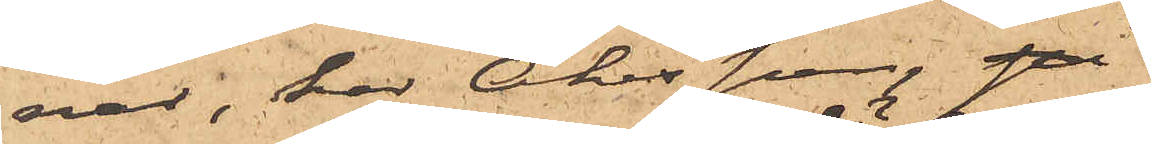nar, har Åkesson, på
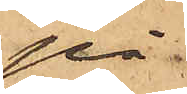på
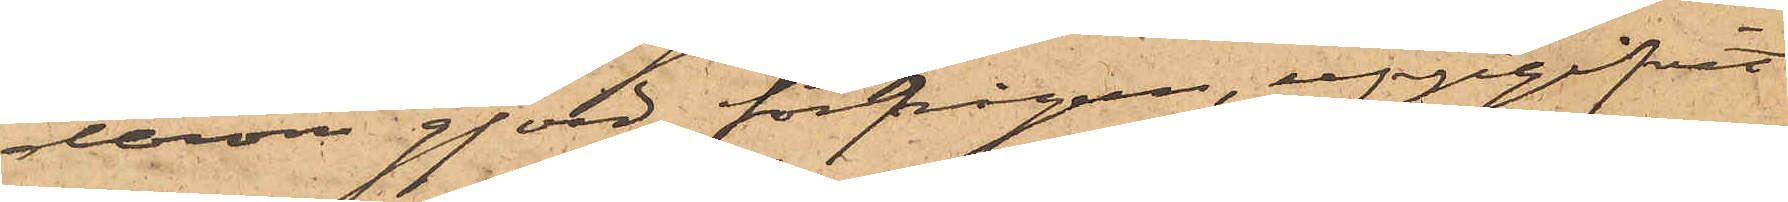derom gjord förfrågan, uppgifvit
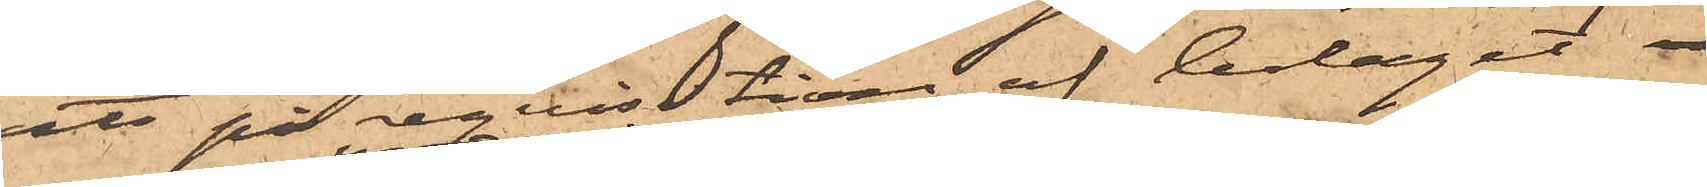att på reqvisition af bolaget
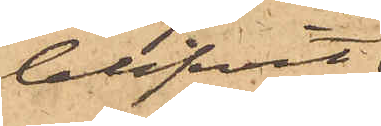blifvit
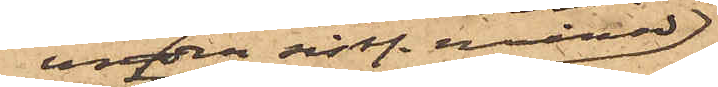under sistl. månad
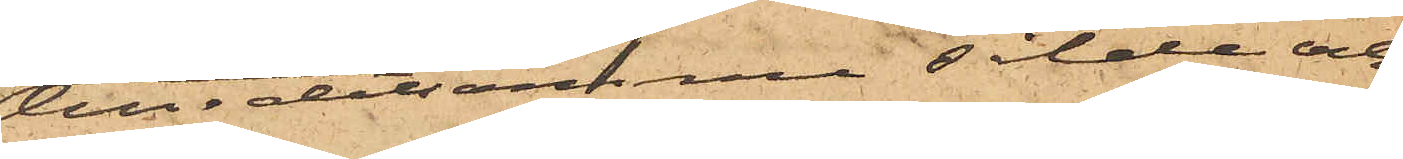till detsamma sålda och
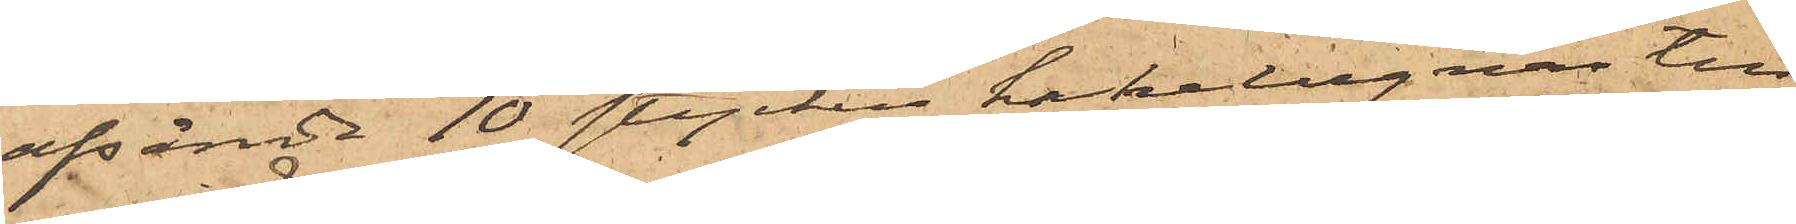afsände 10 stycken kakelugnar till
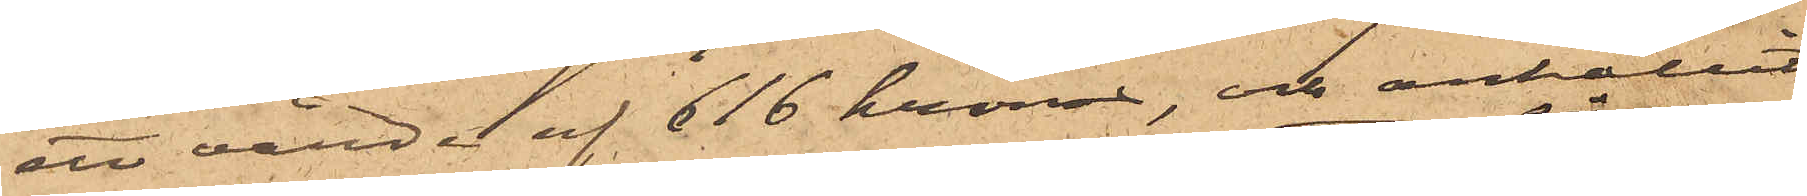ett värde af 616 kronor, och anhållit
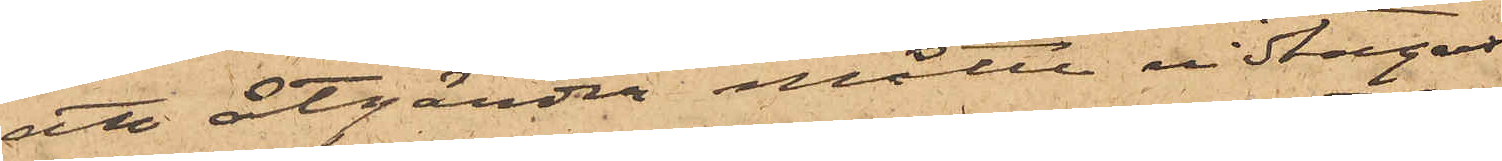att åtgärder måtte vidtagas
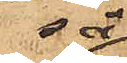så
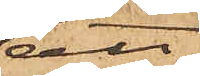att
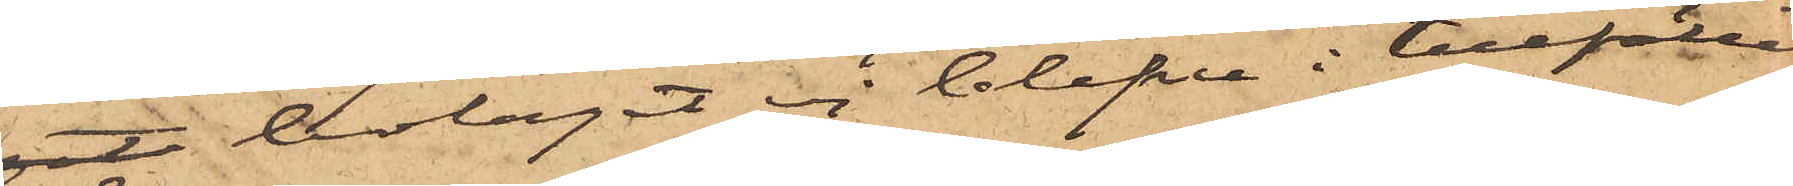got bolaget ej blefve i tillfälle
